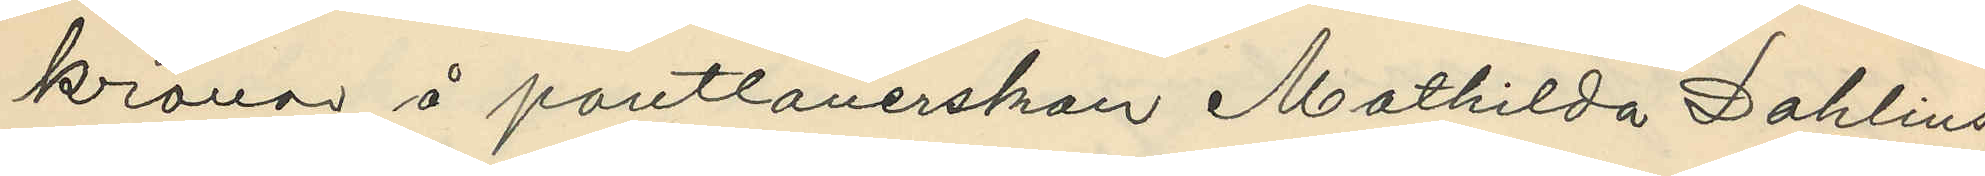kronor å pantlånerskan Mathilda Dahlins
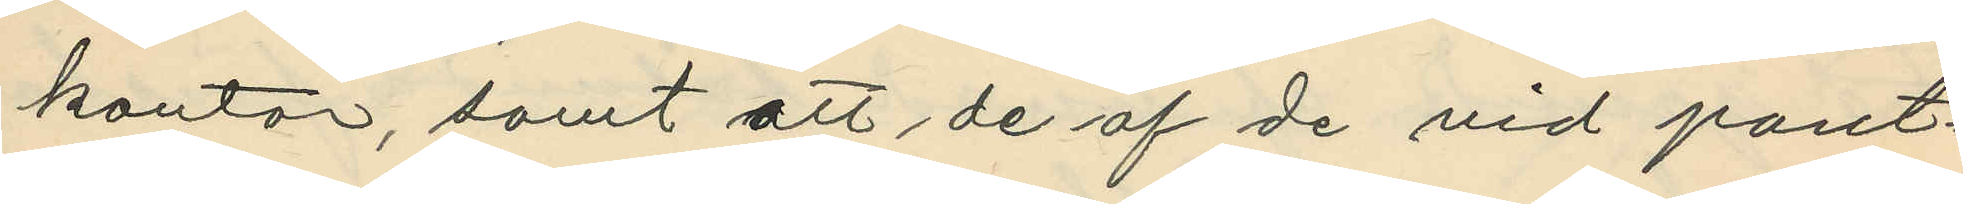kontor, samt att de af de vid pant¬
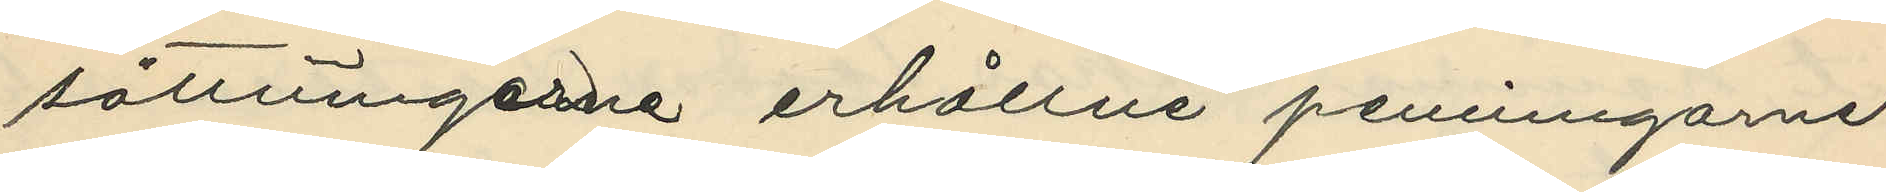sättningarne erhållne penningarne
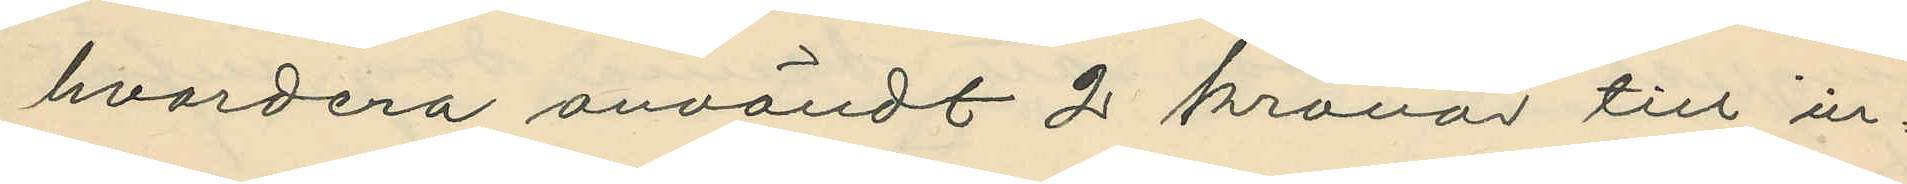hvardera användt 2 kronor till in¬
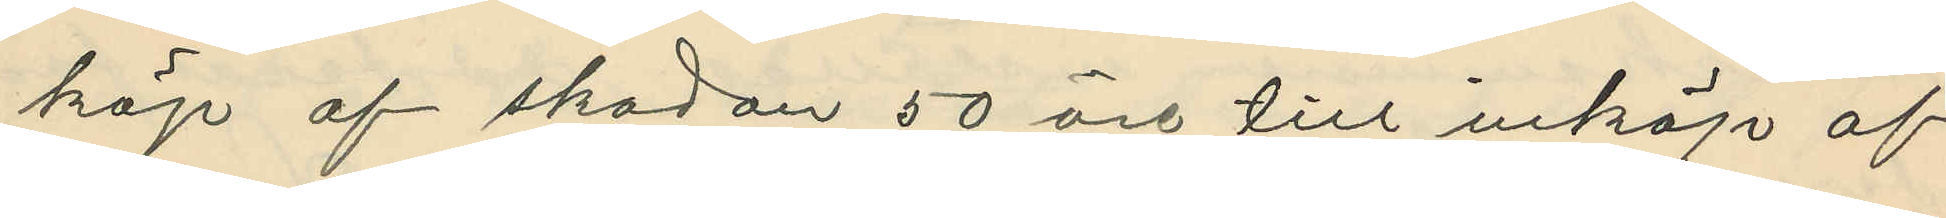köp af skodon 50 öre till inköp af
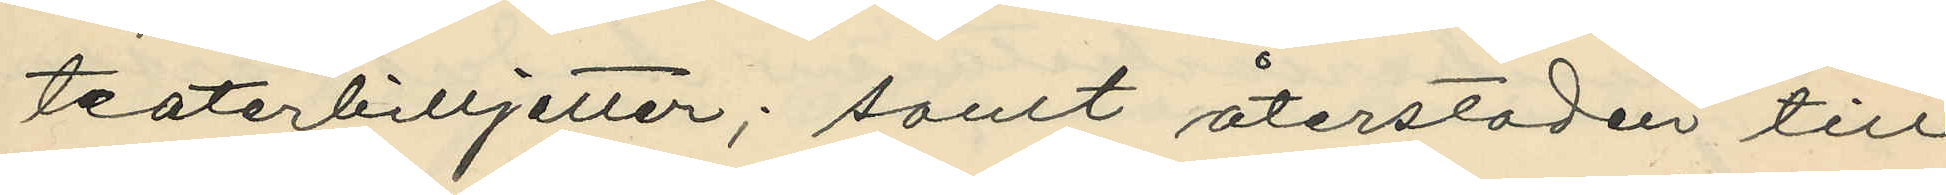teaterbilljetter; samt återstoden till
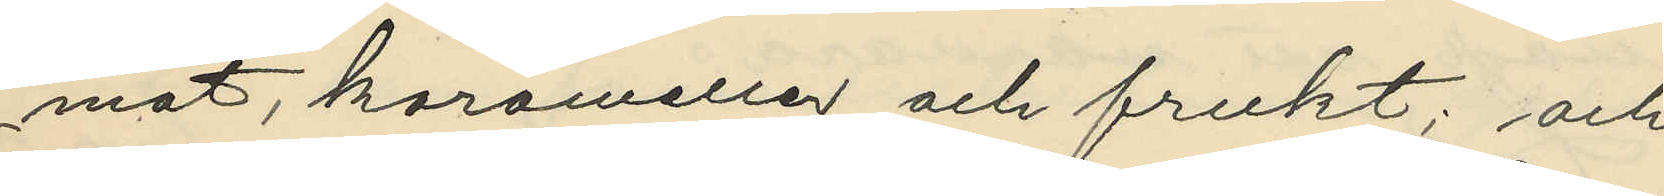mat, karameller och frukt; och
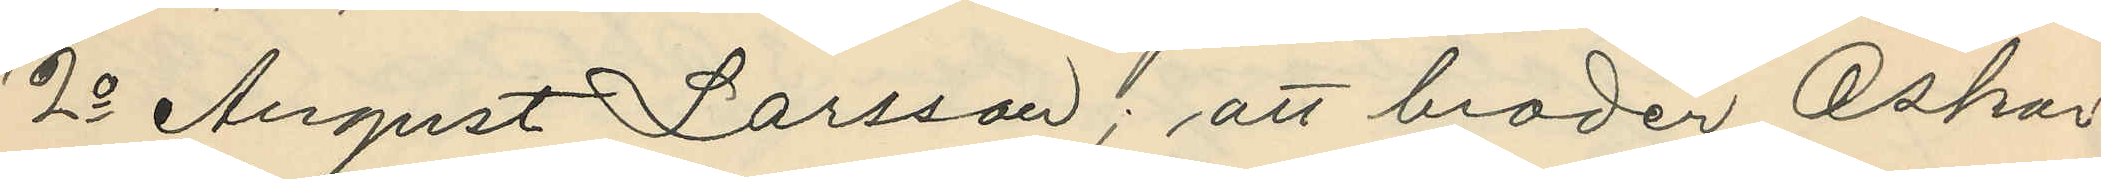2o August Larsson; att broder Oskar
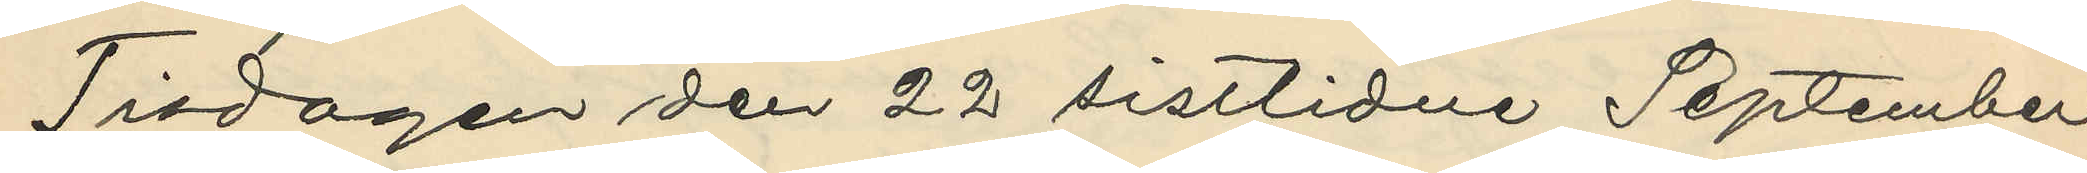Tisdagen den 22 sistlidne September
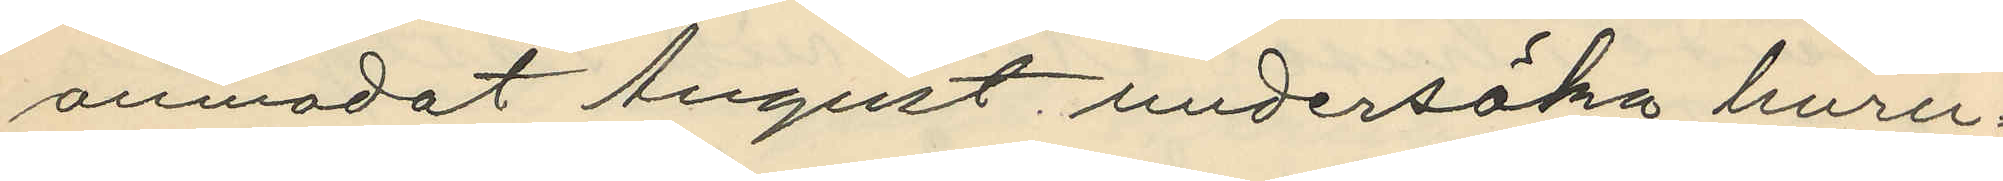anmodat August undersöka huru¬
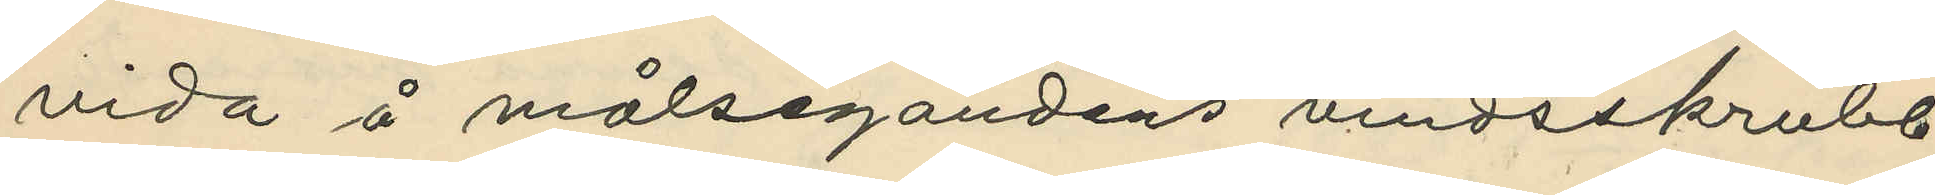vida å målsegandens vindsskrubb
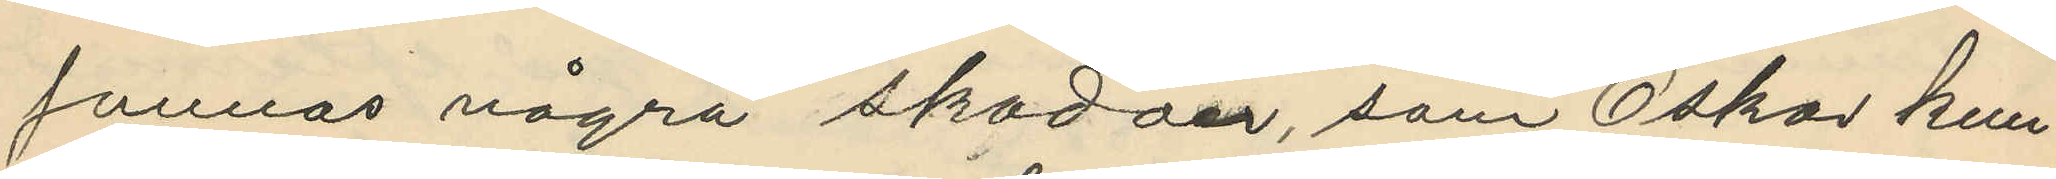funnos några skodon, som Oskar kun¬
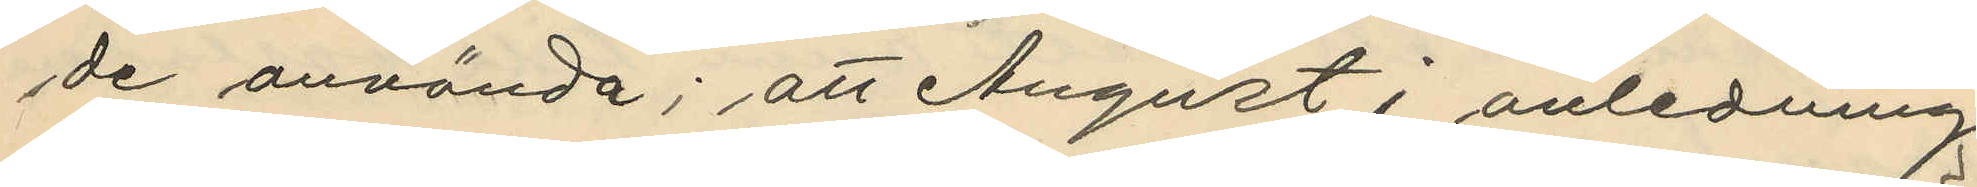de använda; att August i anledning
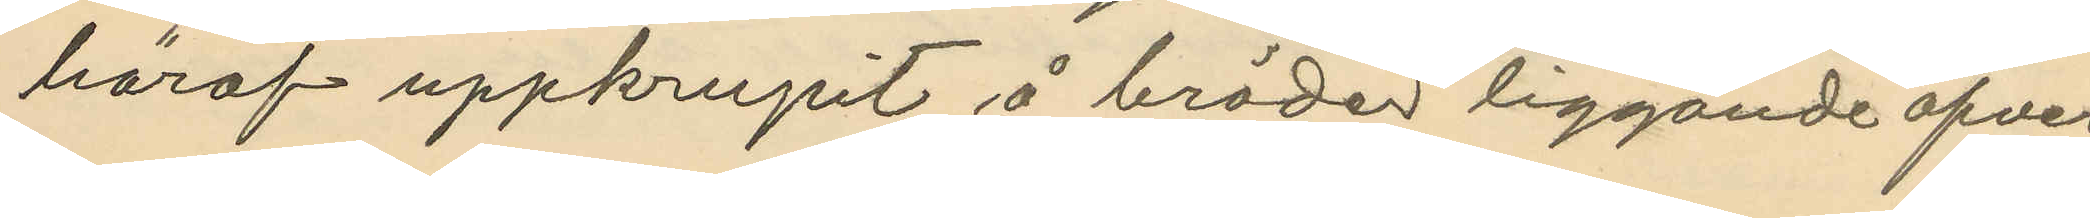häraf uppkrupit å bräder liggande öfver
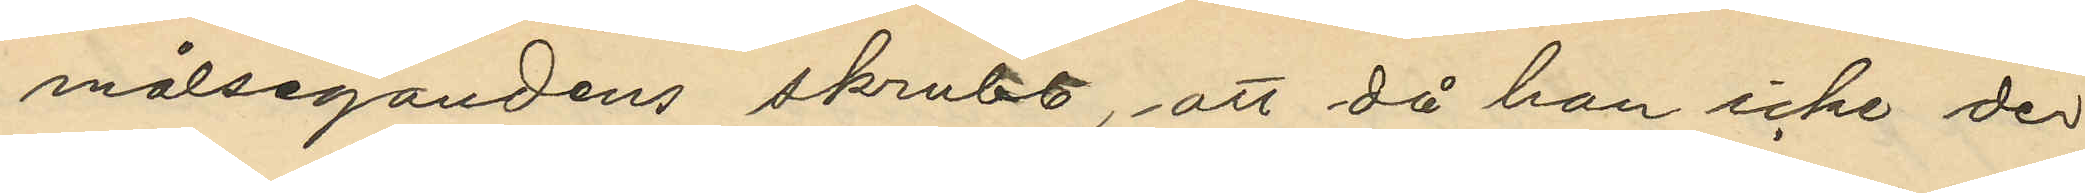målsegandens skrubb, att då han icke der
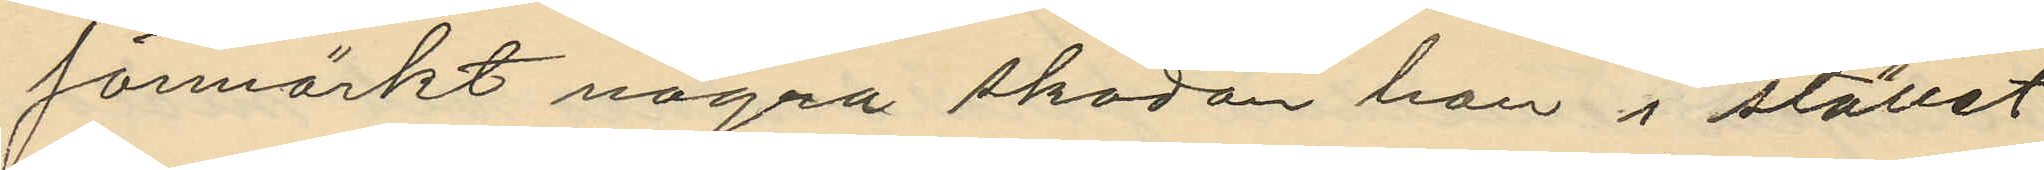förmärkt några skodon han i stället
